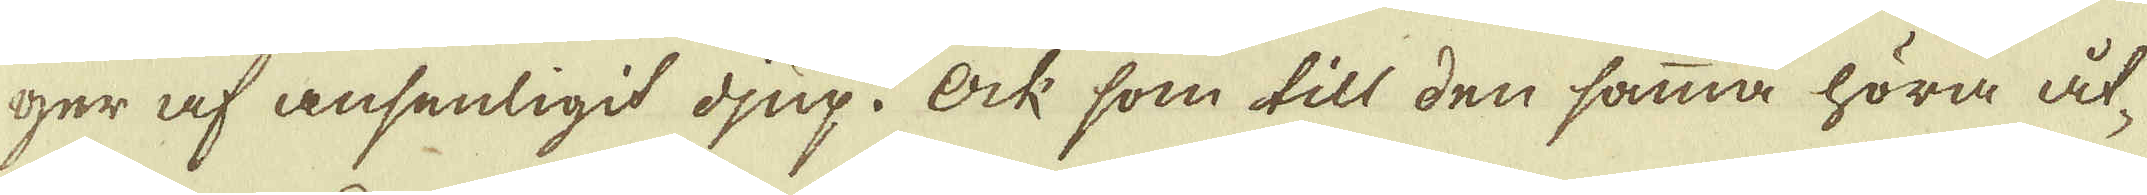ger af ansenligit djup. Ock som till den samma höra åt-
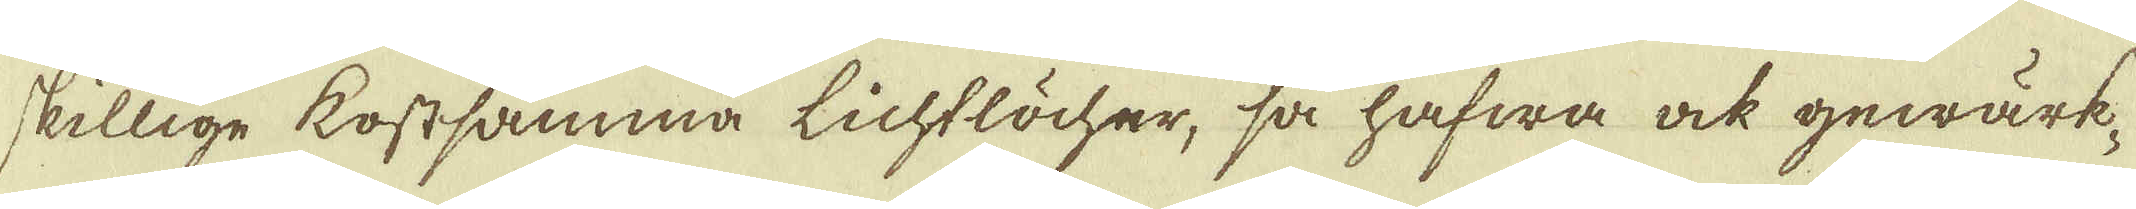skillige kostsamma Lichtlöcher, så hafwa ock gewärk-
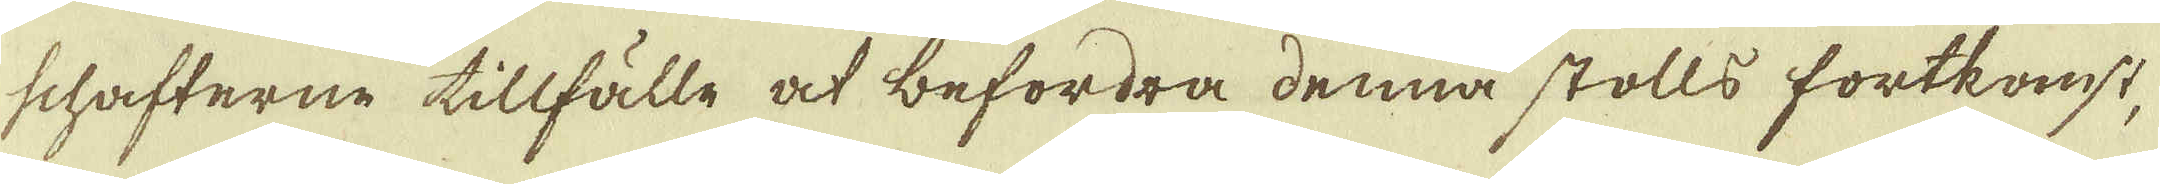schafterne tillfälle at befordra denna stolls fortkomst,
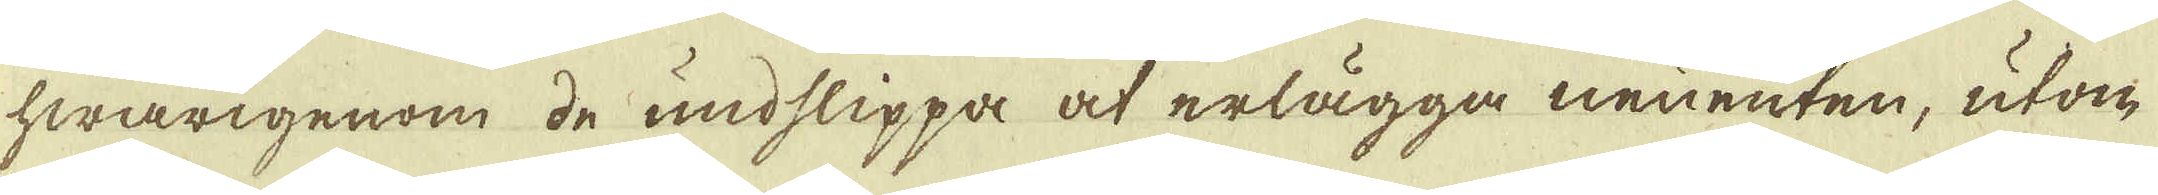hwarigenom de undslippa at erlägga neuenten, utom
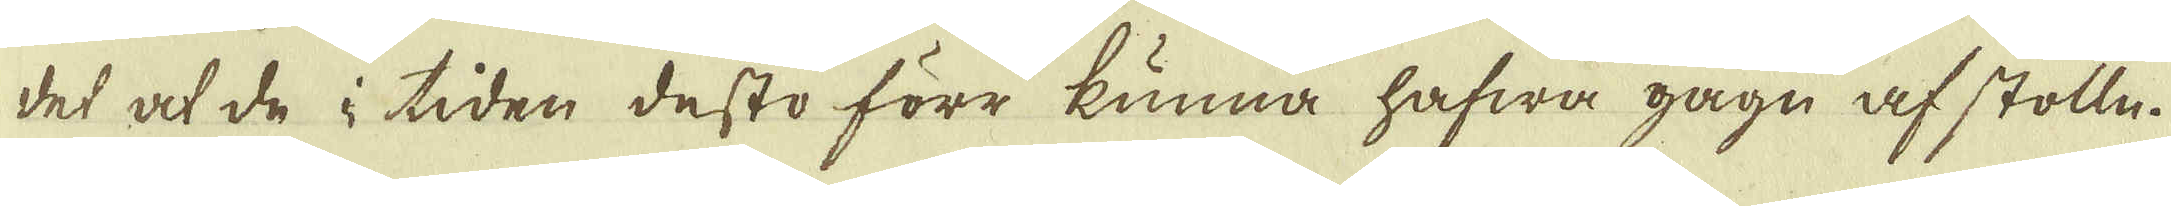det at de i tiden desto förr kunna hafwa gågn af stolln.
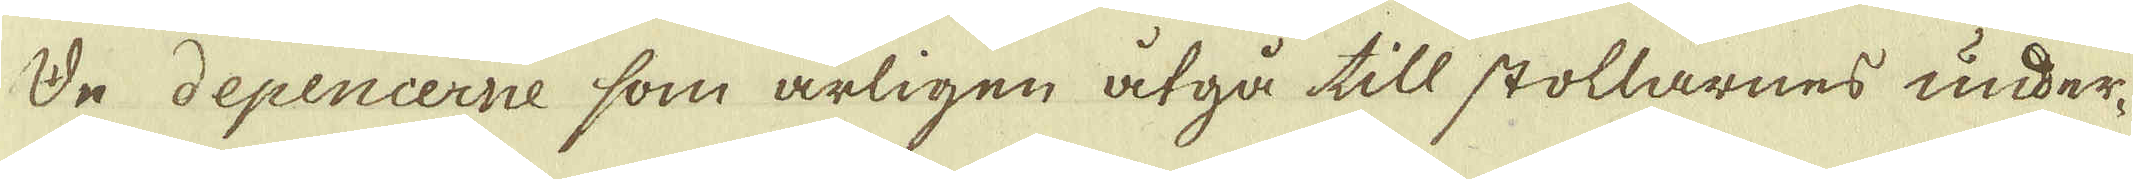De depencerne som årligen åtgå till stollarnes under-
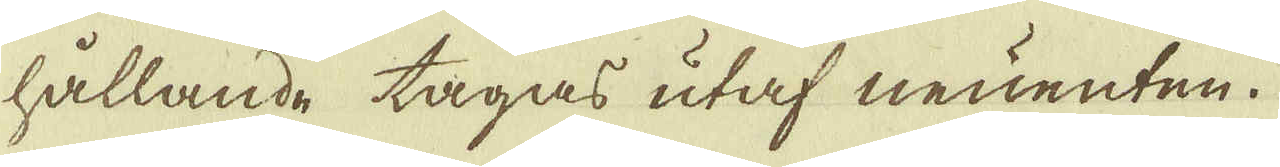hållande tagas utaf neuenten.
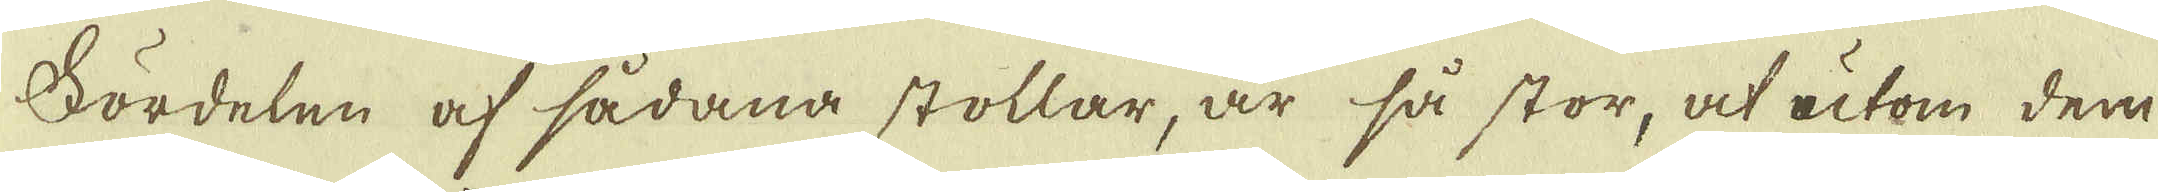Fördelen af sådana stollar, är så stor, at utom dem
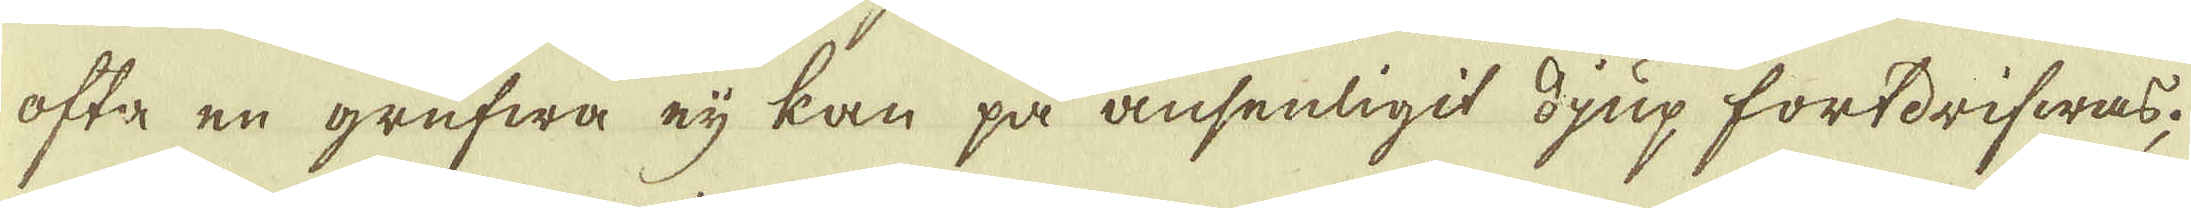ofta en grufwa eij kan på ansenligit djup fordrifwas;
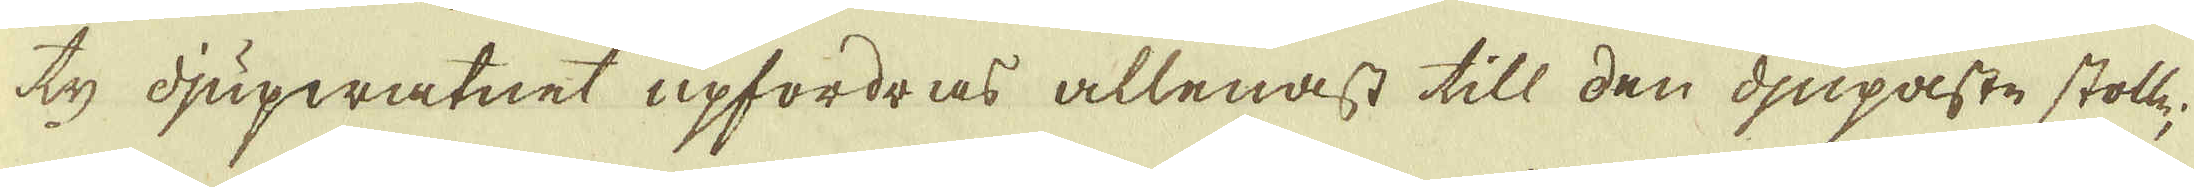ty djupwatnet upfordras allenast till den djupaste stolle
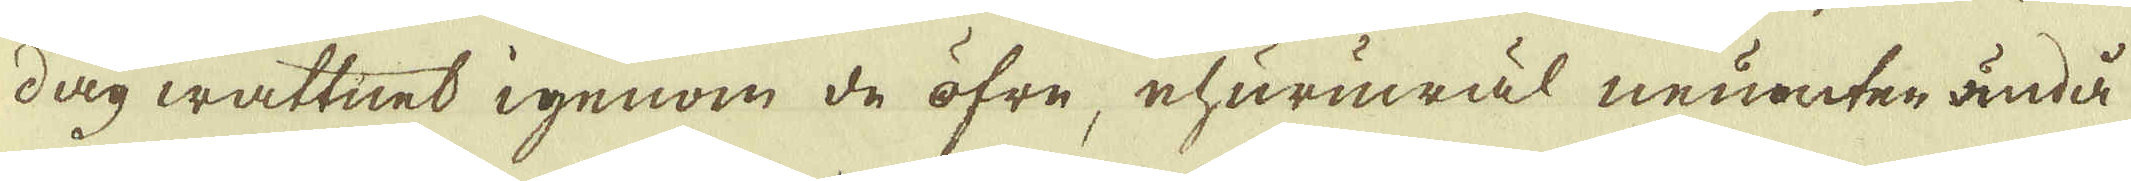dag wattnet igenom de öfre, ehuruwäl neuenten ändå
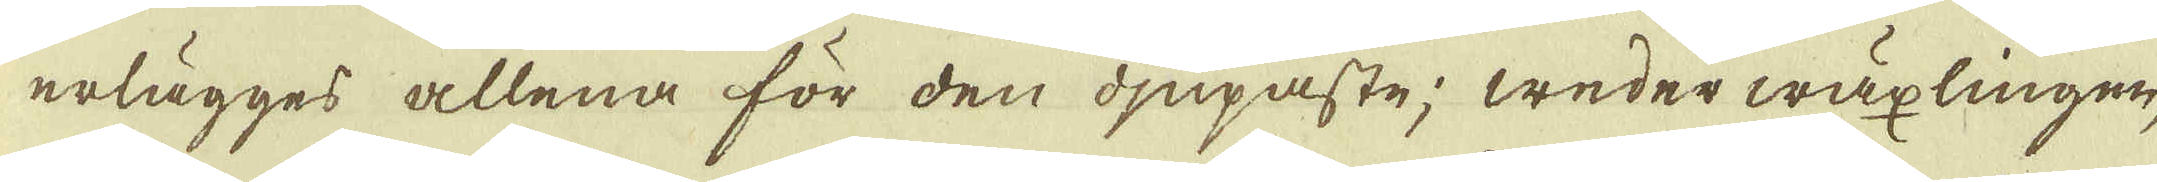erlägges allena för den djupaste; weder wäxlingen,
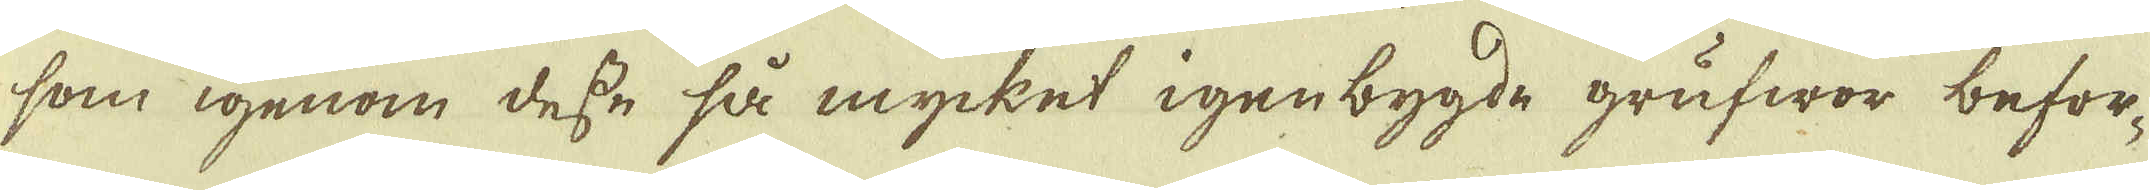som igenom desse så mycket igenbygde grufwor befor-
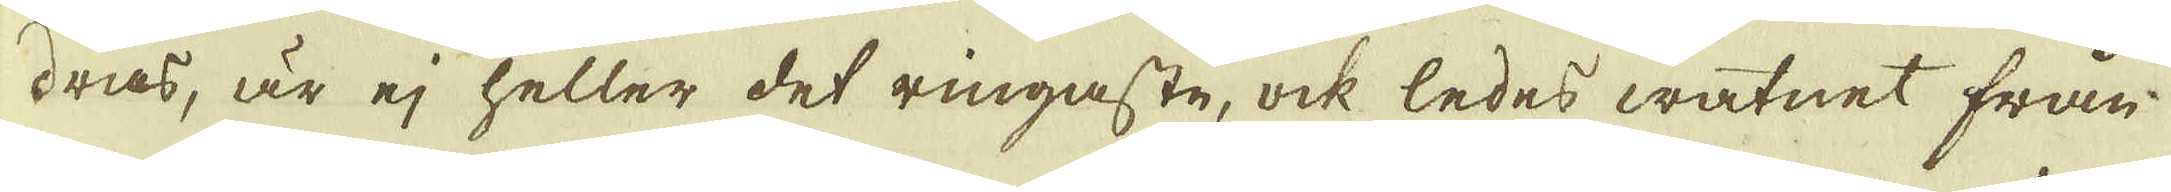dras, är ej heller det ringaste, ock leder watnet från-
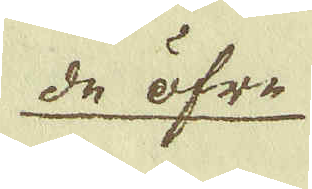de öfre
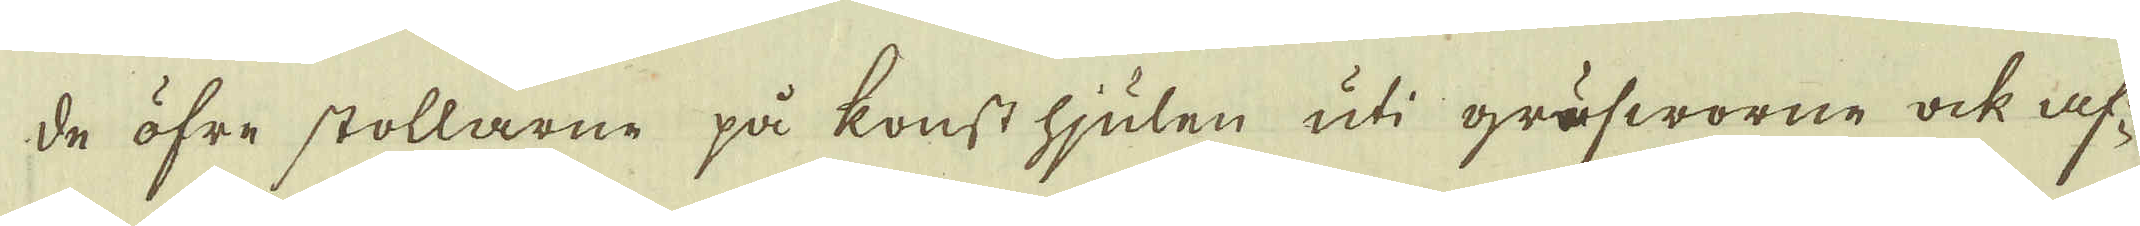de öfre stollarne på konst hjulen uti grufworne ock af-
